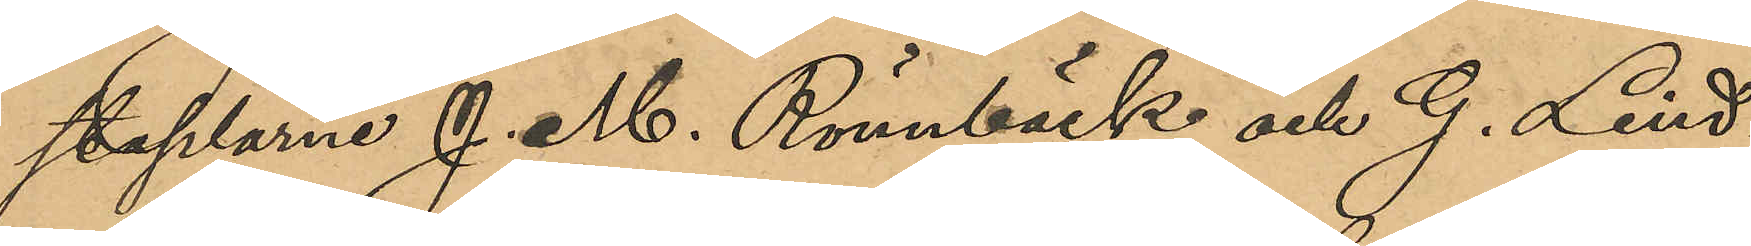staplarne J. M. Rönnbäck och G. Lind¬
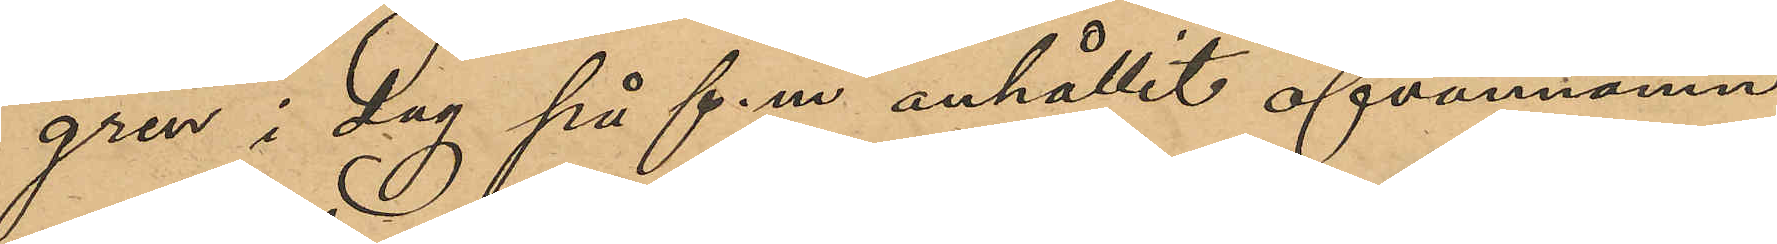gren i dag på f.m anhållit ofvannämn¬
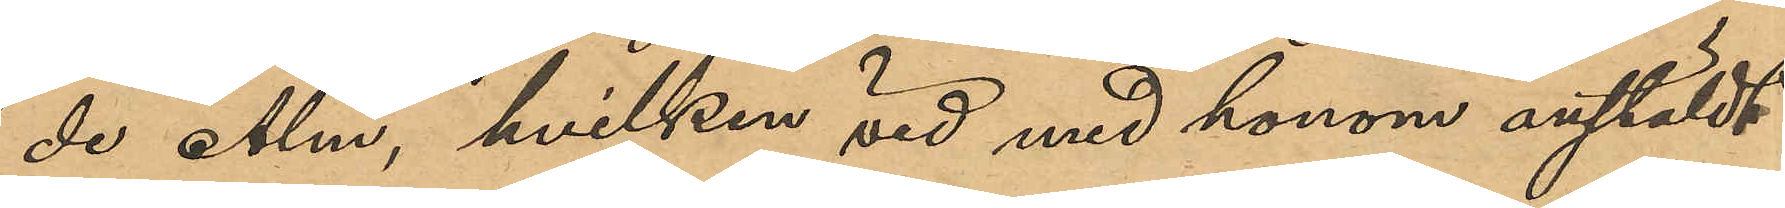de Alm, hvilken vid med honom anstäldt
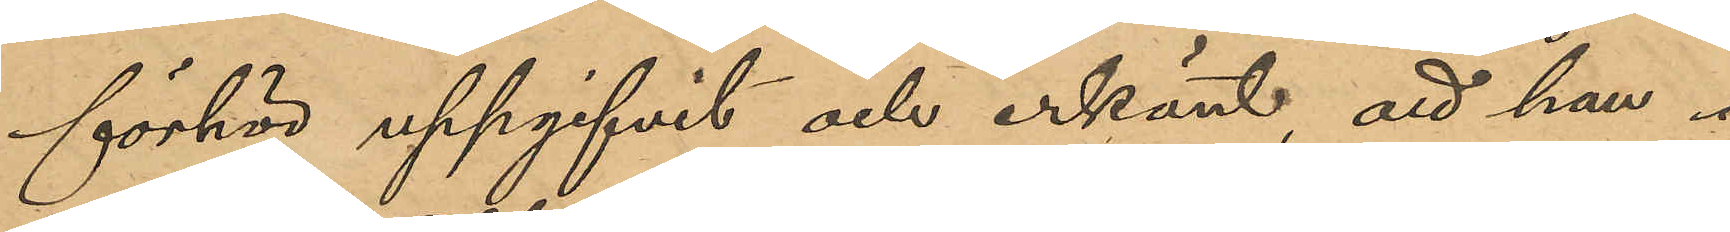förhör uppgifvit och erkänt, att han i
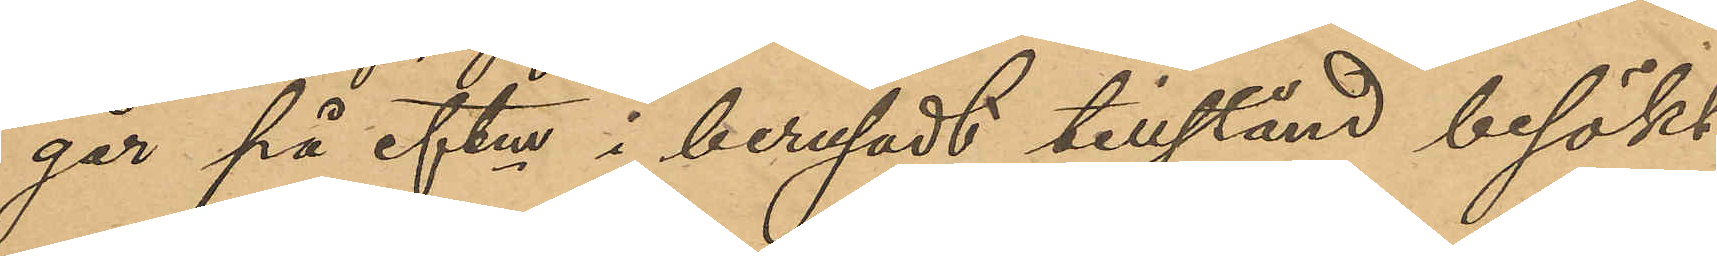går på eftm i berusadt tillstånd besökt
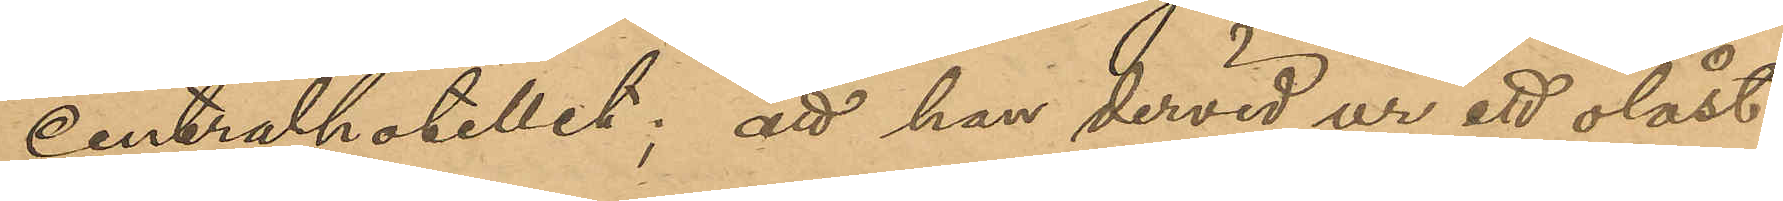Centralhotellet; att han dervid ur ett olåst
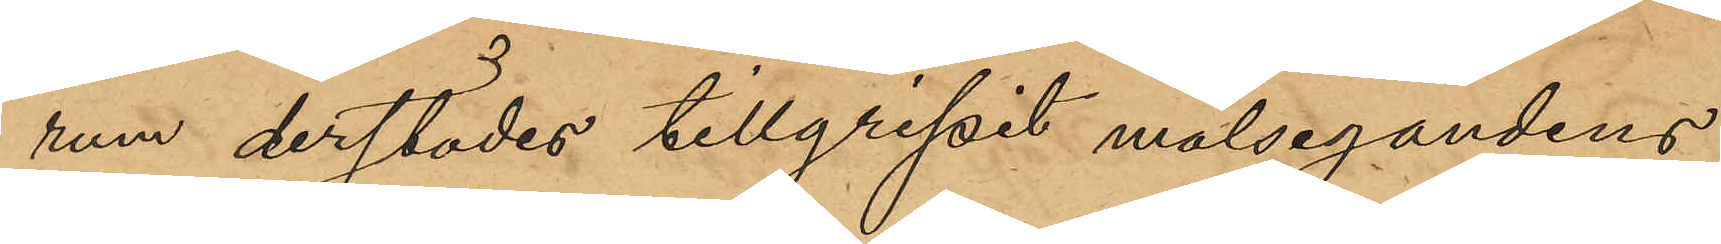rum derstädes tillgripit målsegandens
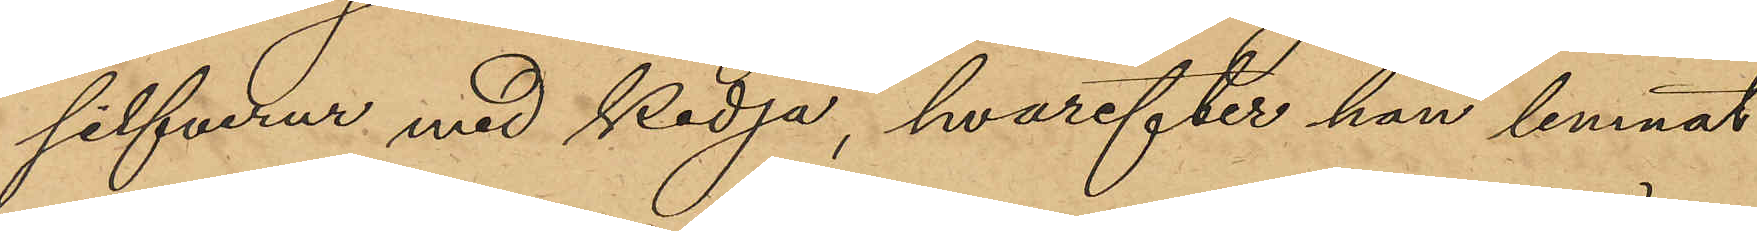silfverur med kedja, hvarefter han lemnat
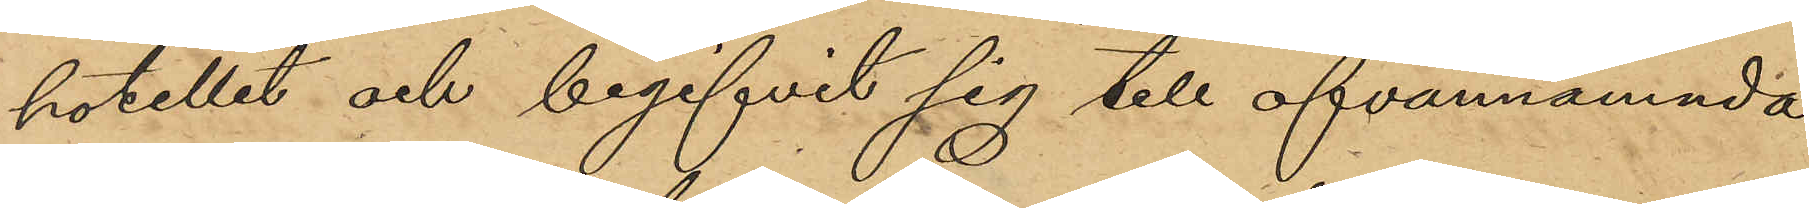hotellet och begifvit sig till ofvannämnda
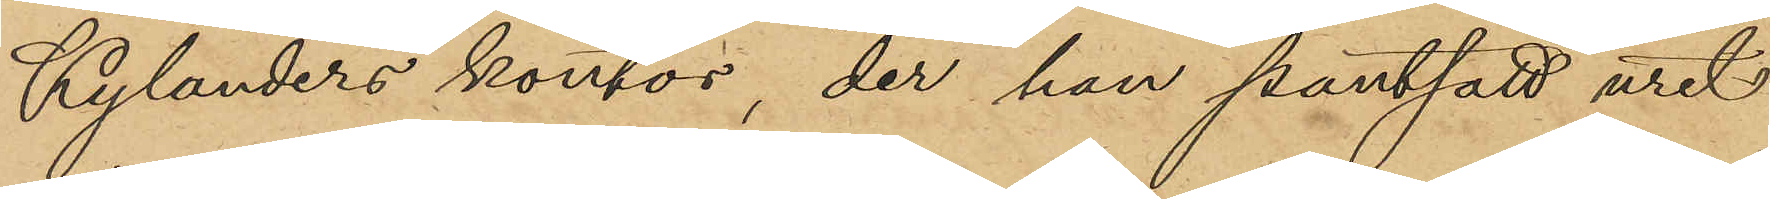Kylanders kontor, der han pantsatt uret
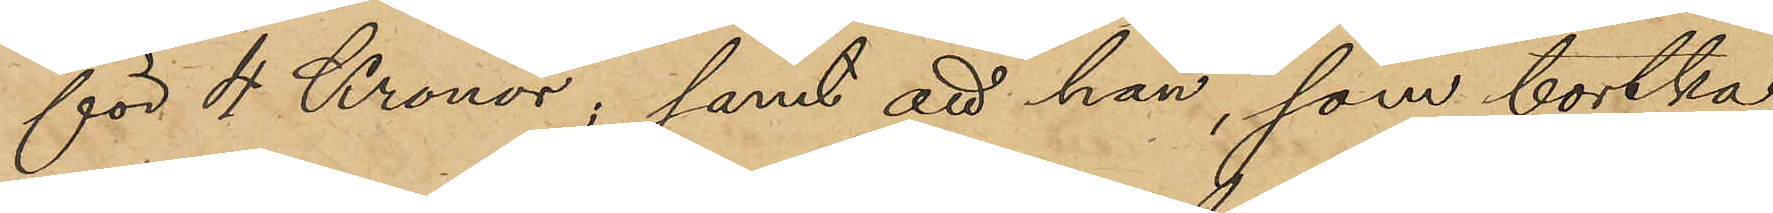för 4 Kronor; samt att han, som bortka¬
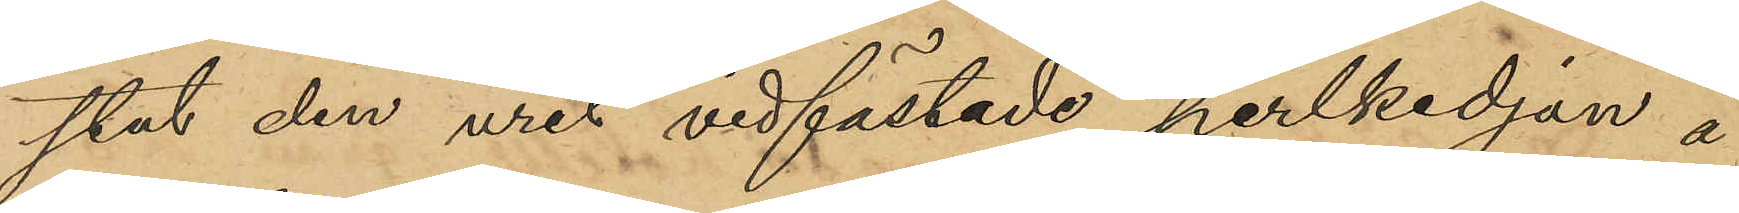stat den uret vidfästade perlkedjan å
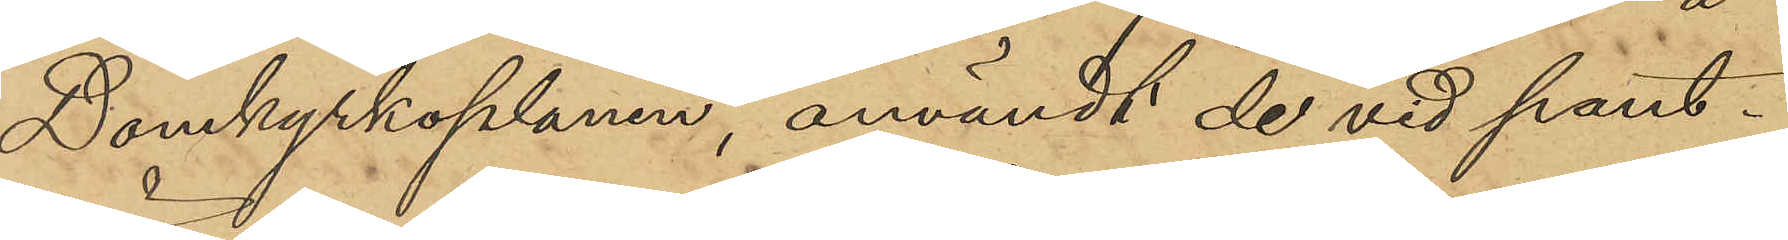Domkyrkoplanen, användt de vid pant¬
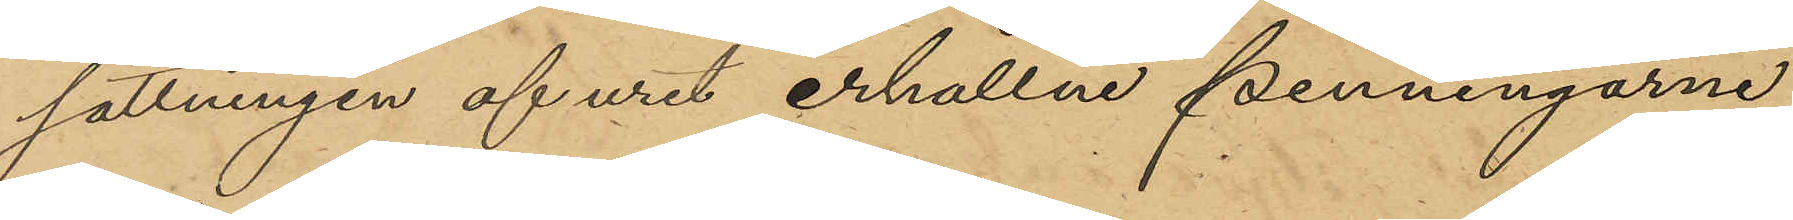sättningen af uret erhållna penningarne
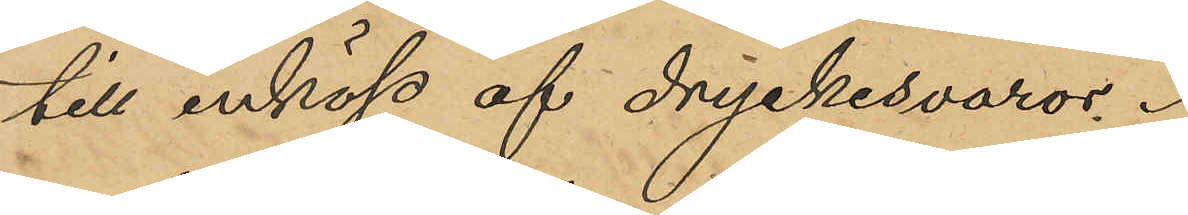till inköp af dryckesvaror.
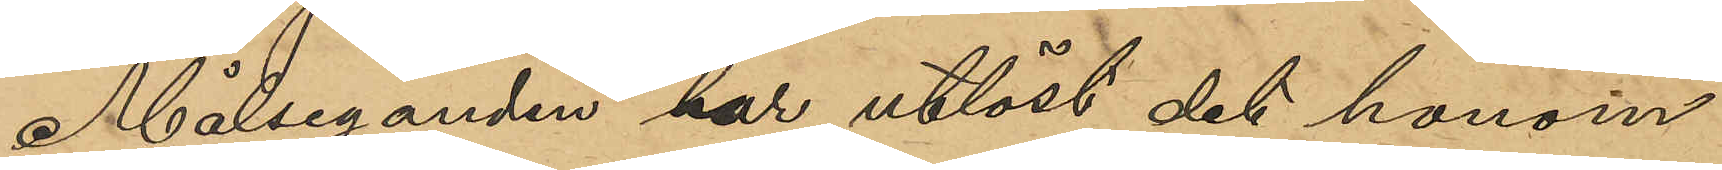Målseganden har utlöst det honom
